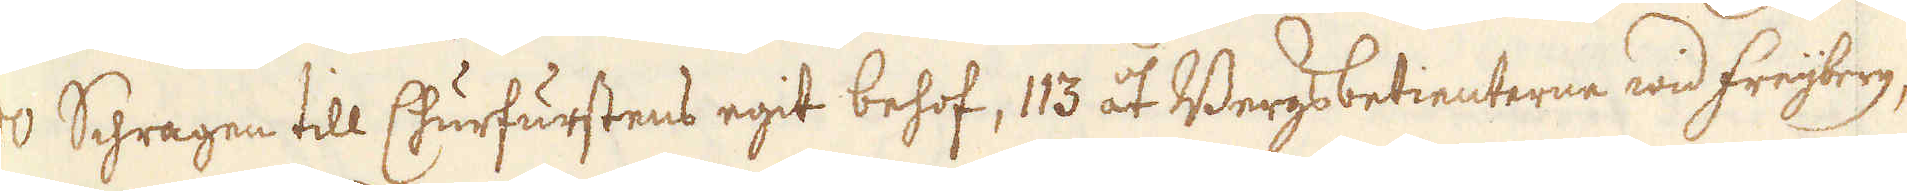000 Schragen till Churfurstens egit behof, 113 åt Bergsbetienterne wid Freijberg,
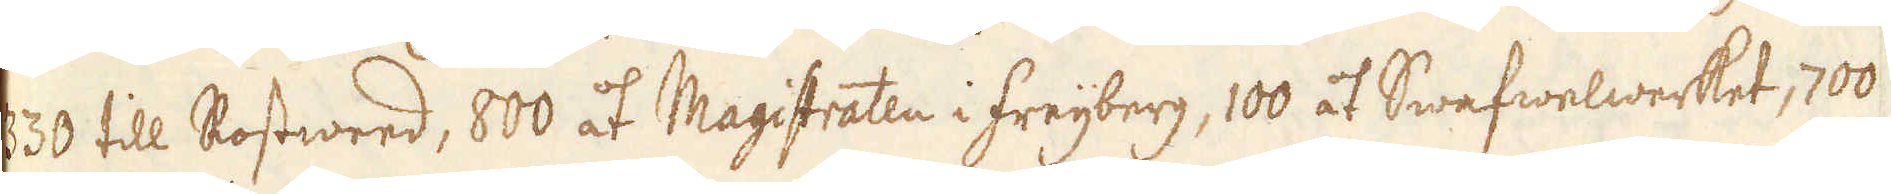330 till Rostweed, 600 åt Magistraten i Freijberg, 100 åt Swafwelwerket, 100
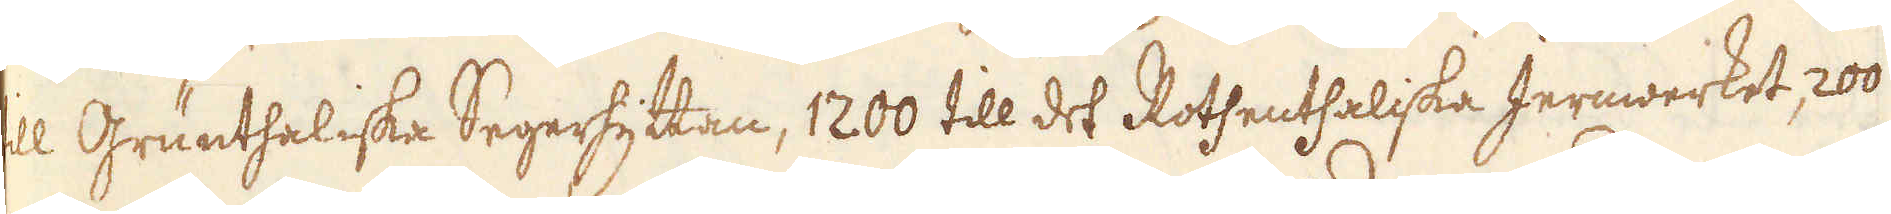til Gruntheliska Segerhyttan, 1200 till det Rothenthaliska Jernwwerket, 200
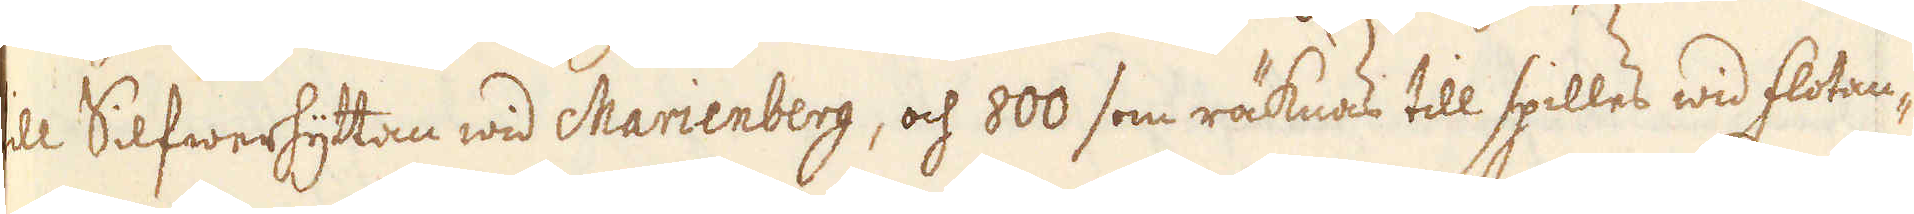till Silfwerhyttan wid Marienberg, och 800 som räknas till spilles wid flotan-
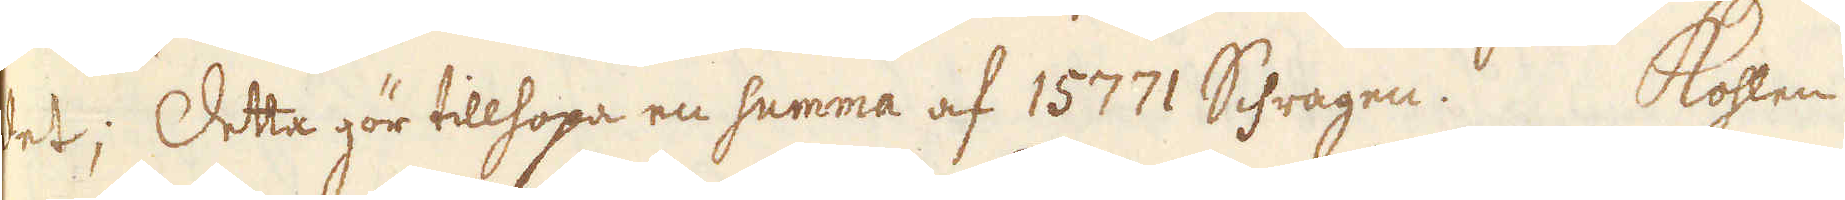det; Detta gör tillhopa en summa af 15771 Schragen. Kohlen
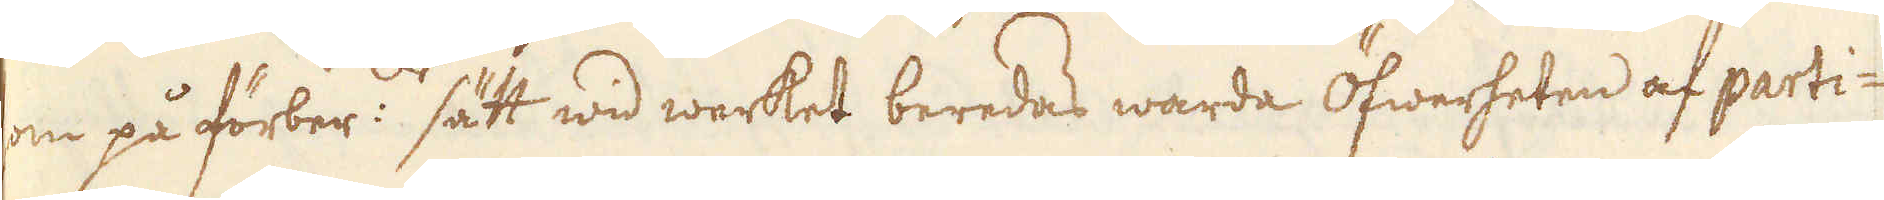som på förber:de sätt wid werket beredas warda öfwerheten af parti-
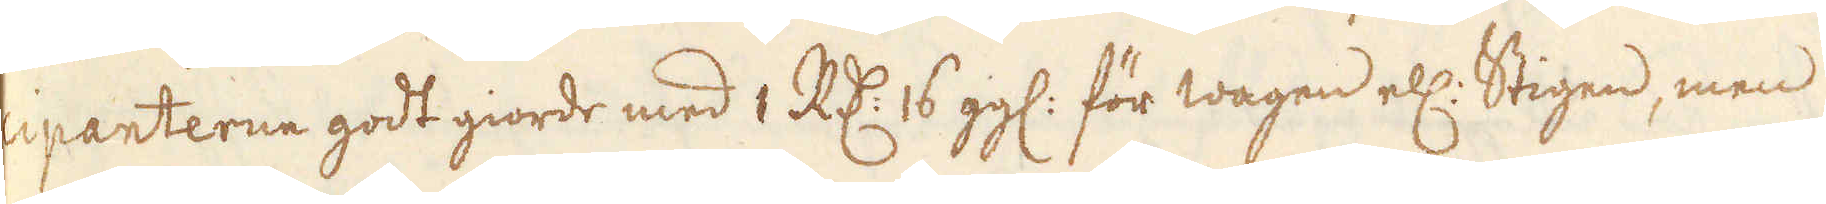cipanterne godt giorde med 1 R:dr 6 gg: för wagen ell: Stigen, men
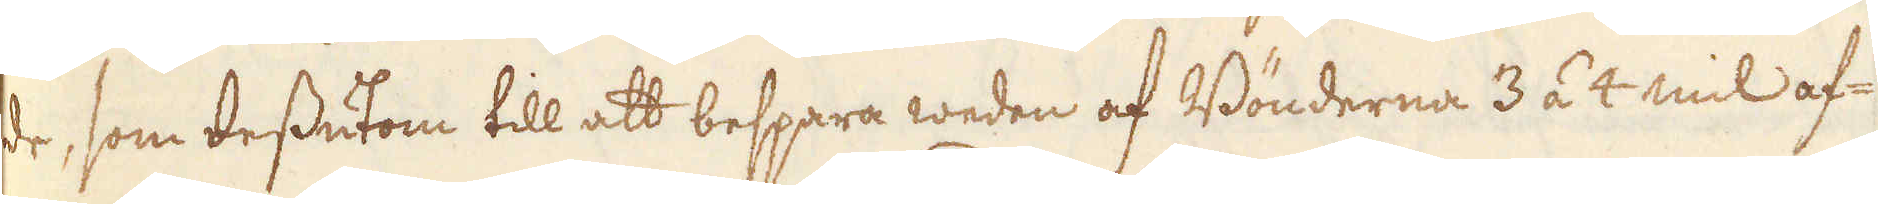de, som dessutom till att bespara weden af Bönderna 3 á 4 mil af-
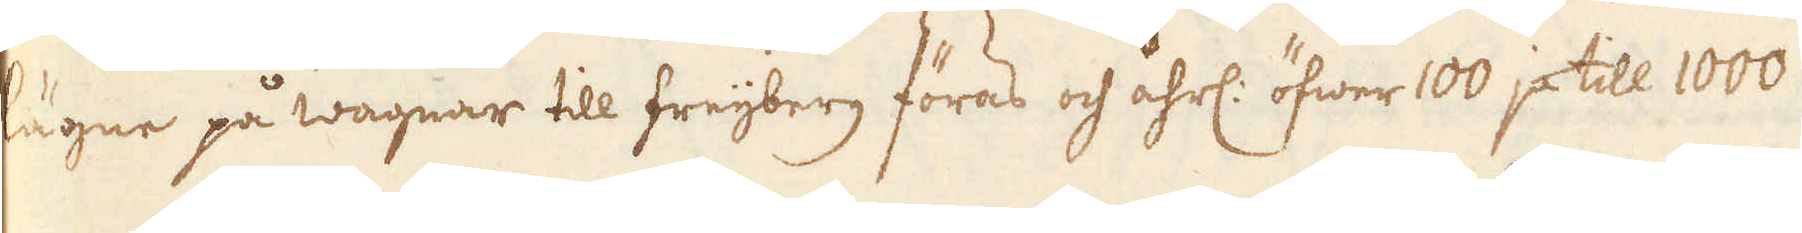lägne på wagnar till Freijberg föras och åhrl: öfwer 100 ja till 1000
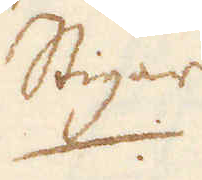Stigar
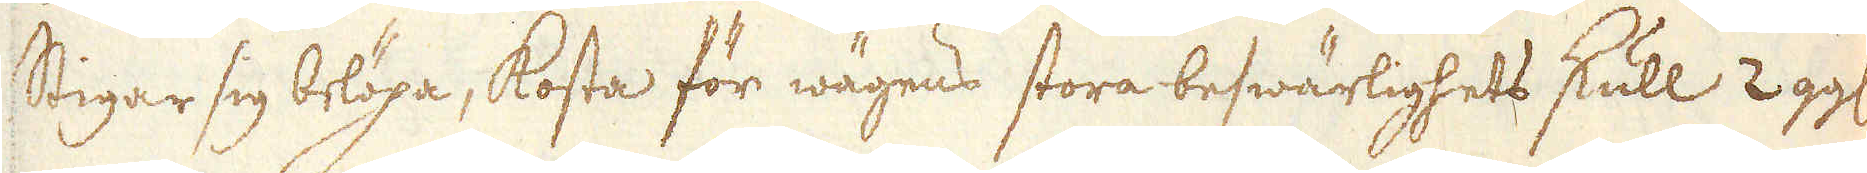Stigar sig belöpa, kosta för wägens stora beswärlighets skull 2 gg:
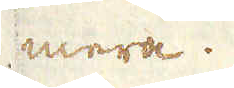mera.
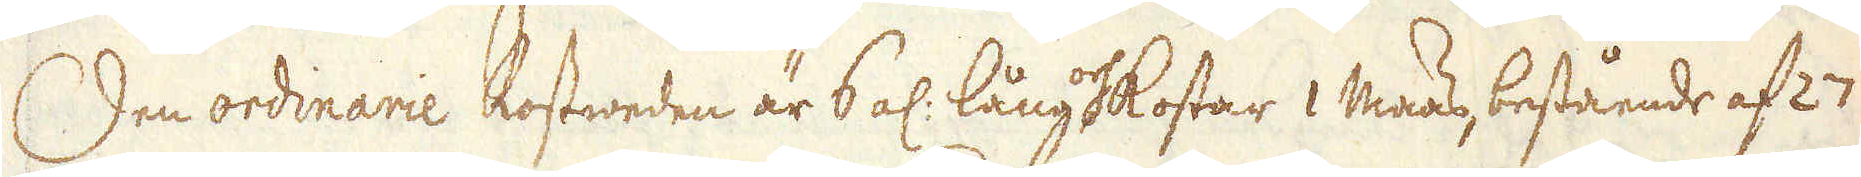Den ordinarie Rostweden är 6 al: lång och kostar 1 Maas, bestående af 27
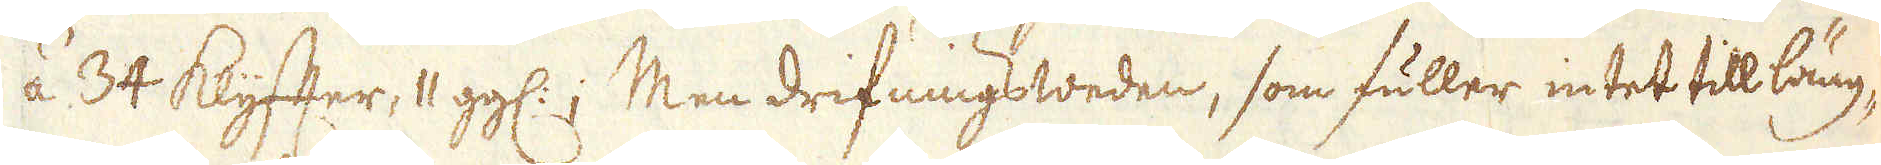á 34 Klyffter, 11 gg:; Men drifningsweden, som fuller intet till läng-
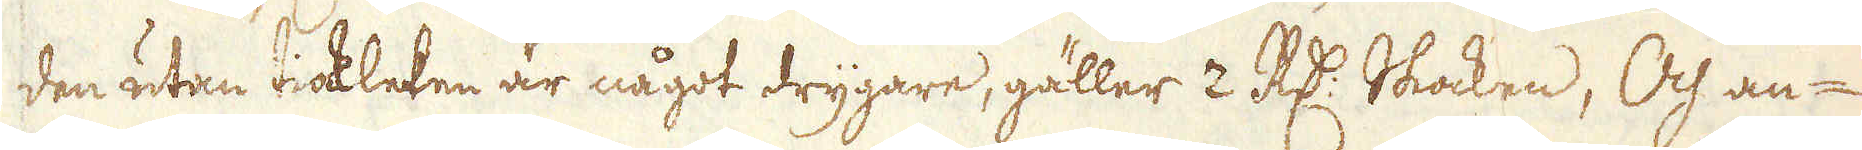den utan tiockleken är något drygare, gäller 2 R:dr Skocken, Och an-
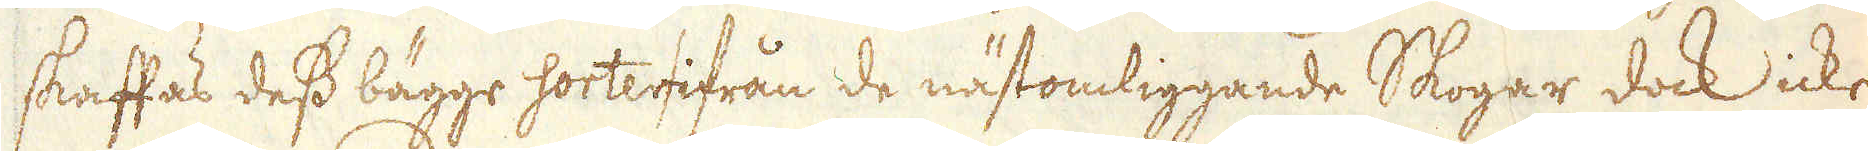skaffas dess bägge sorter ifrån de nästomliggande Skogar dock icke
